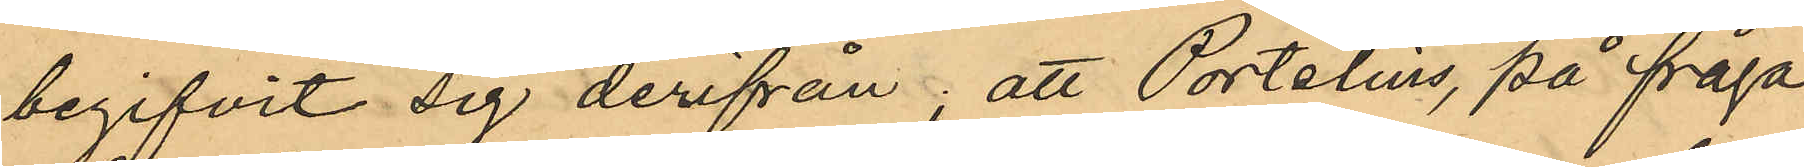begifvit sig derifrån; att Portelius, på fråga
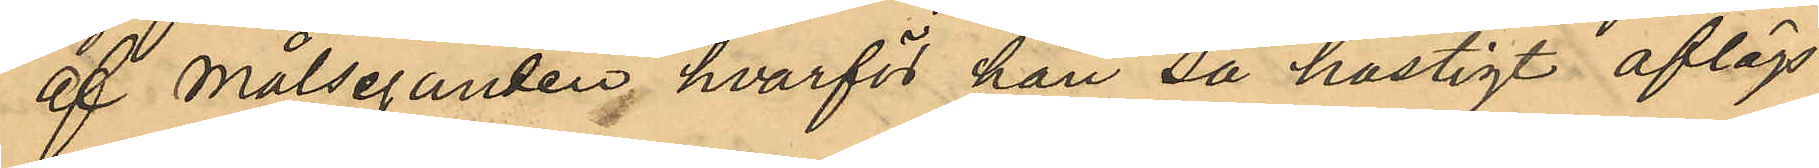af Målseganden, hvarför han så hastigt aflägs¬
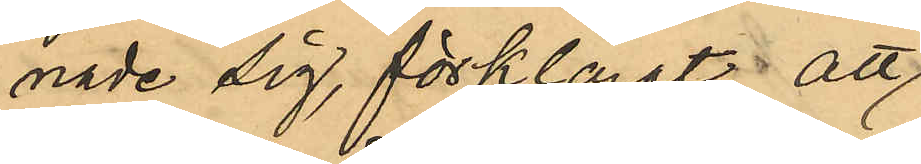nade sig, förklarat, att
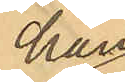han
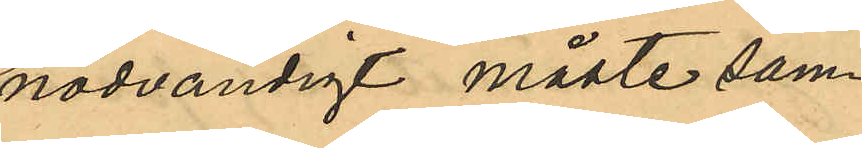nödvändigt måste sam¬
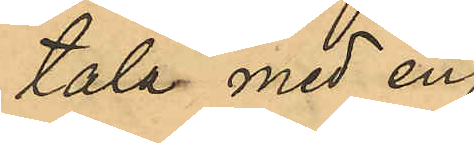tala med en
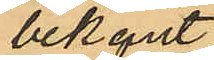bekant
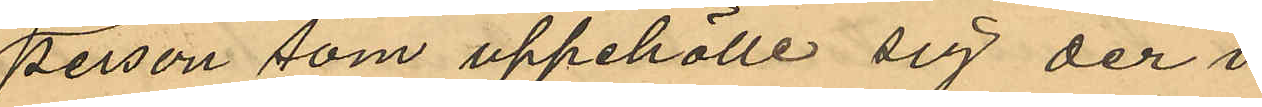person som uppehölle sig der i
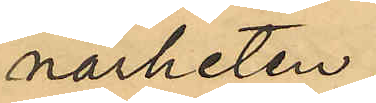närheten,
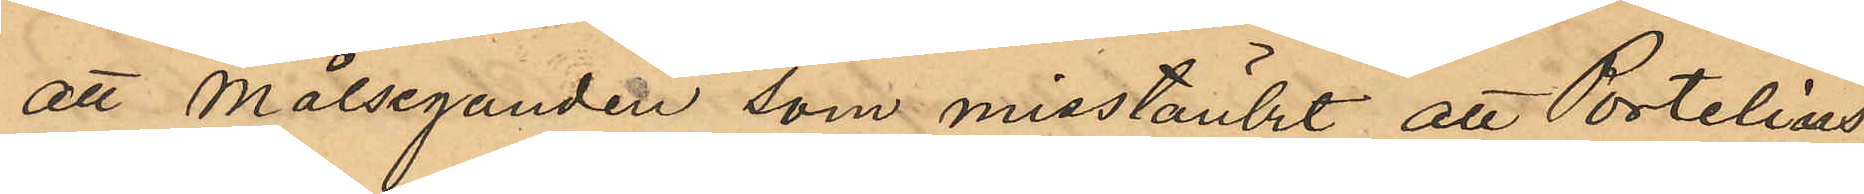att Målseganden som misstänkt att Portelius
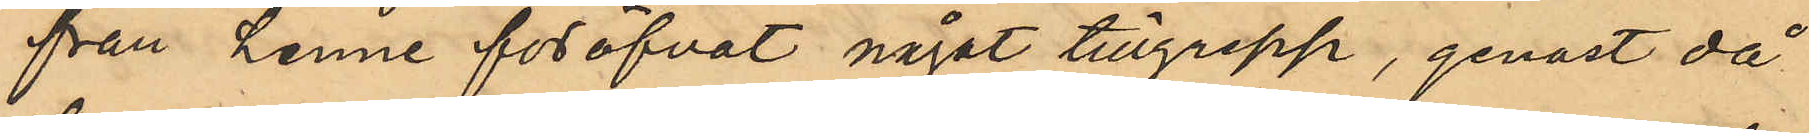från henne föröfvat något tillgrepp, genast då
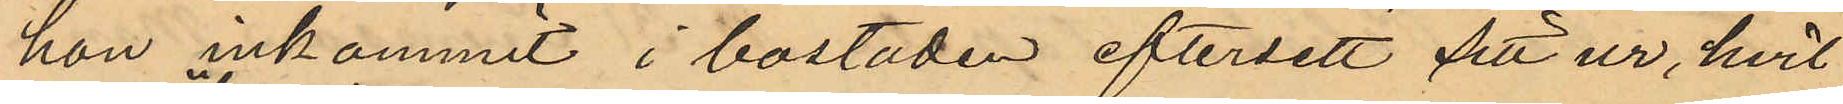hon inkommit i bostaden eftersett sitt ur, hvil¬
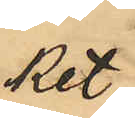ket
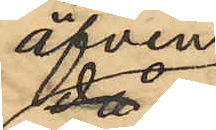äfven
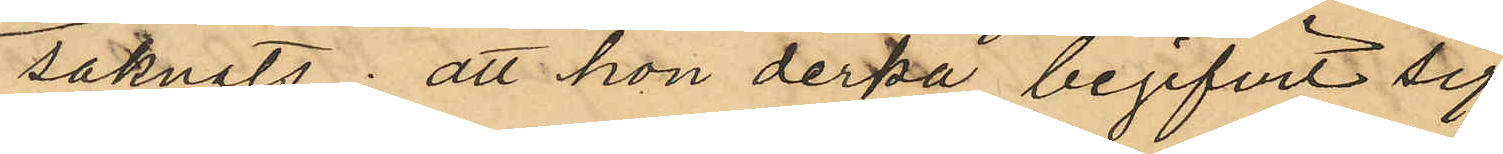saknats; att hon derpå begifvit sig
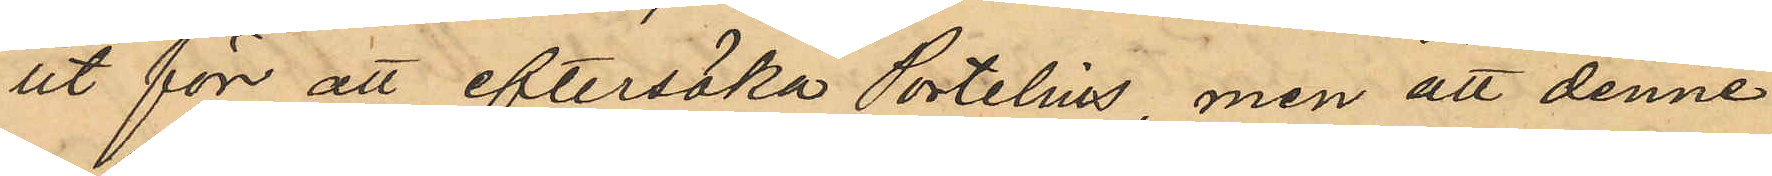ut för att eftersöka Portelius, men att denne
